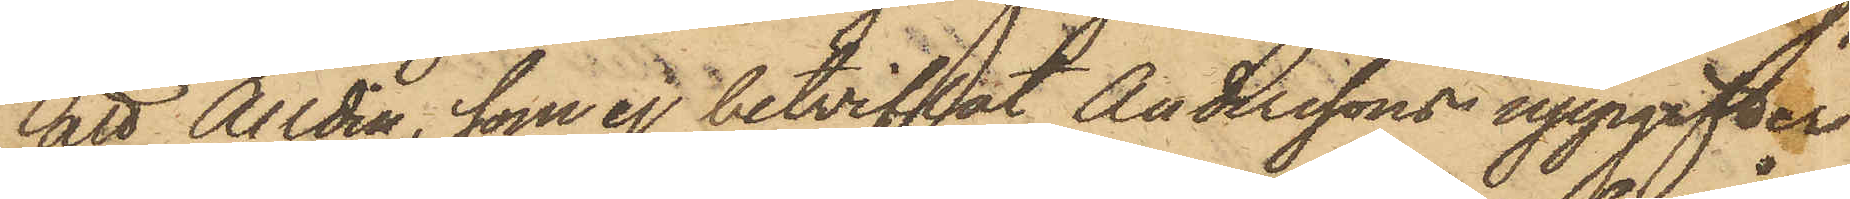att Alldin, som ej betviflat Anderssons uppgifter
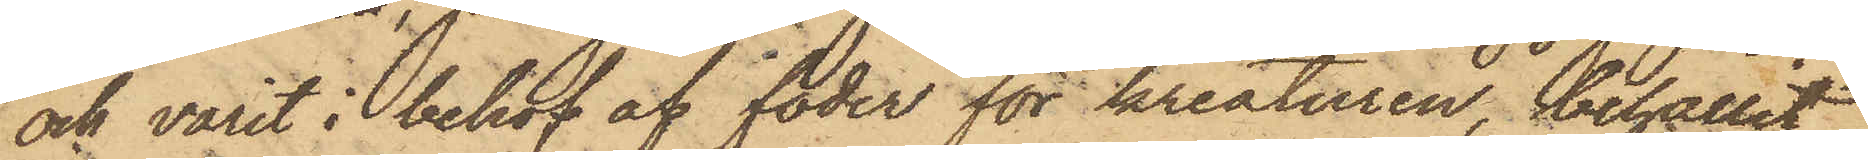och varit i behof af foder för kreaturen, behållit
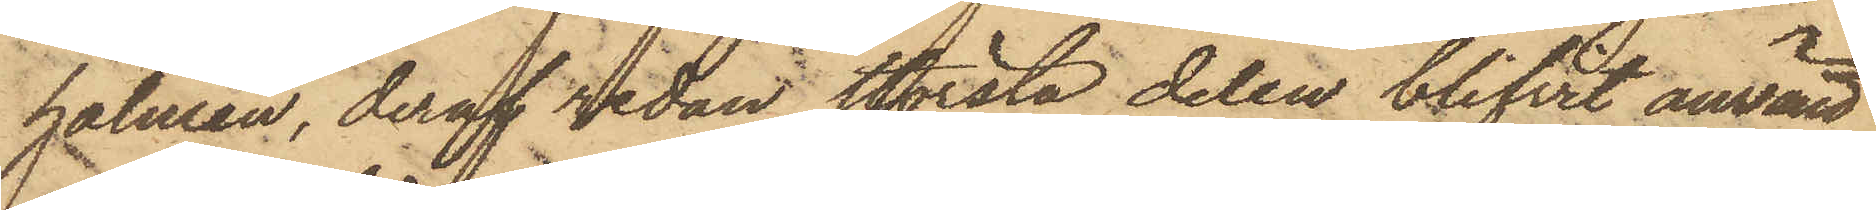halmen, deraf sedan största delen blifvit använd
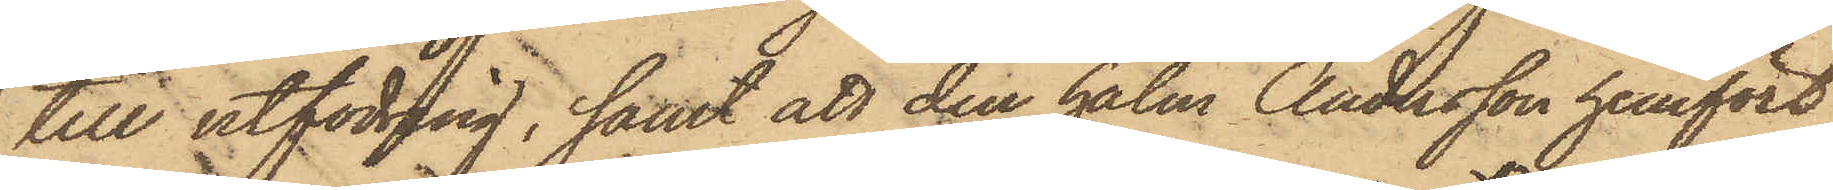till utfodring; samt att den halm Andersson hemfört
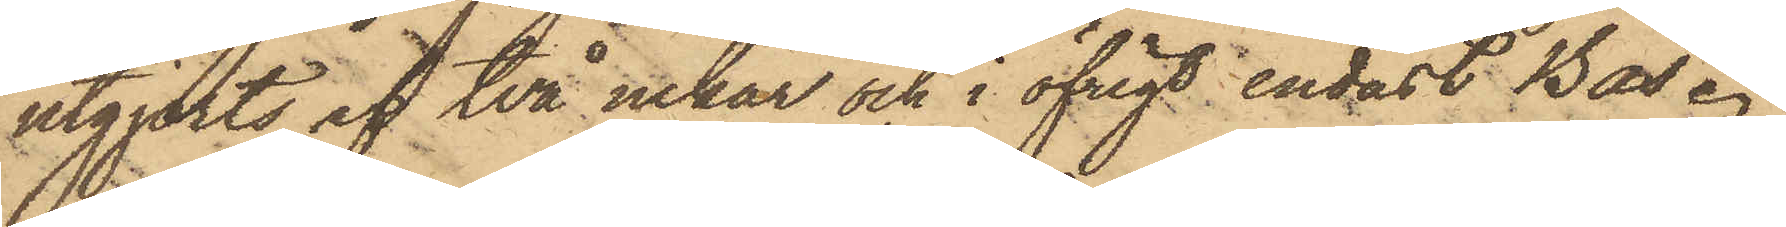utgjorts af två nekar och i öfrigt endast Bås.
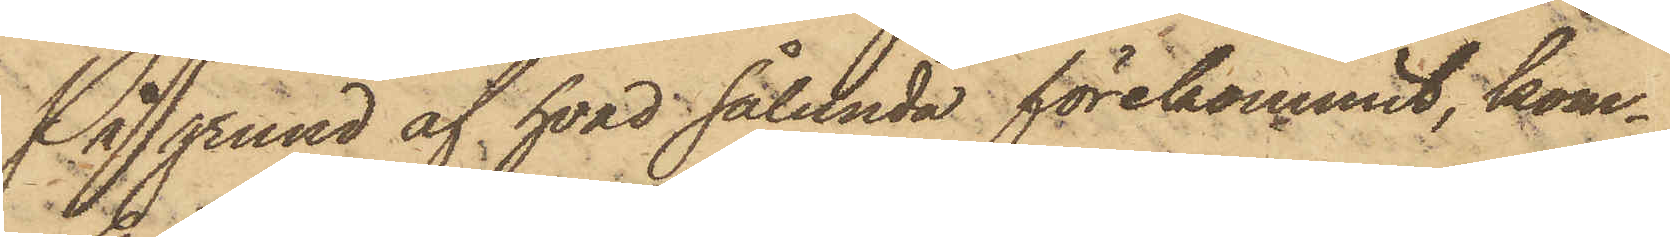På grund af hvad sålunda förekommit, kom¬
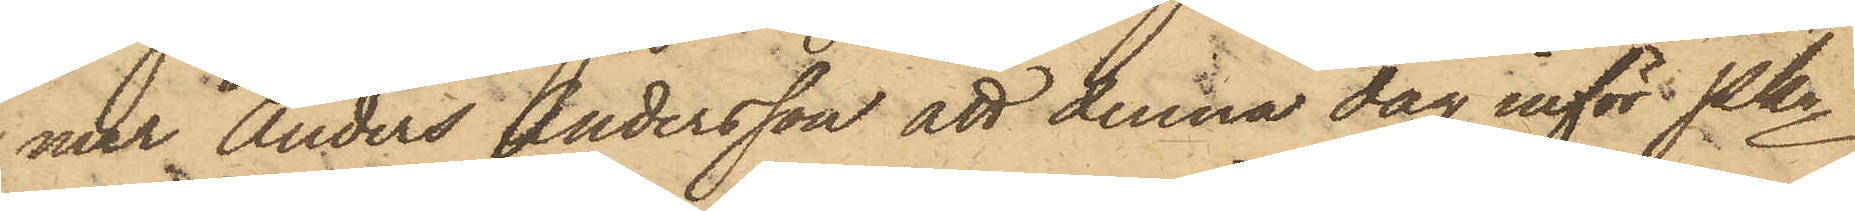mer Anders Andersson att denna dag inför Pkn
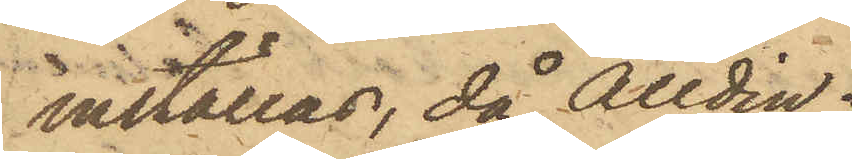inställas, då Alldin
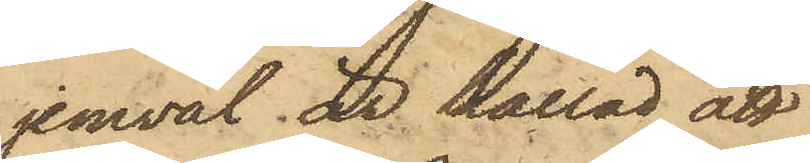jemväl är kallad att
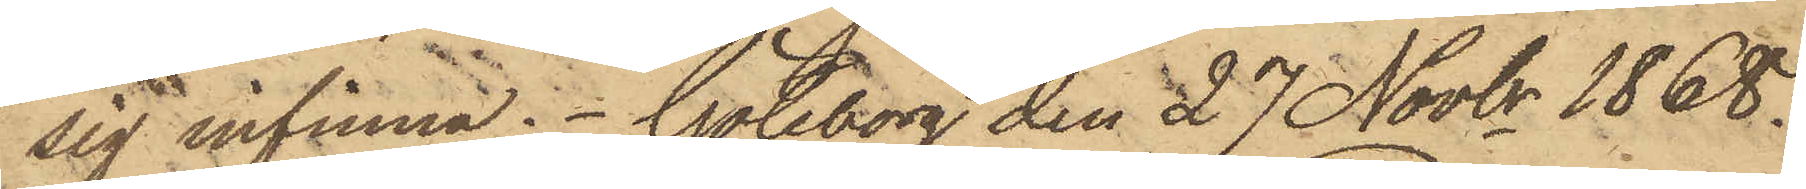sig infinna. Göteborg den 27 Novbr 1868.
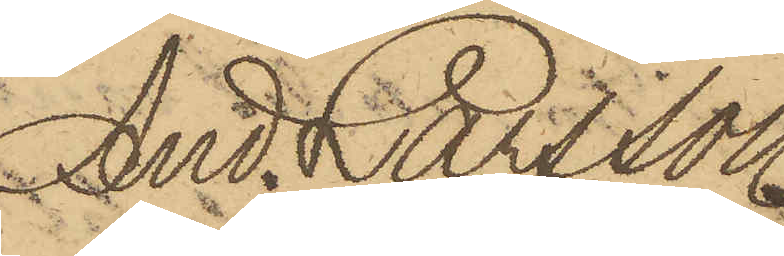And. Larsson
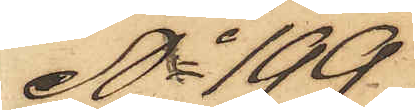No 199
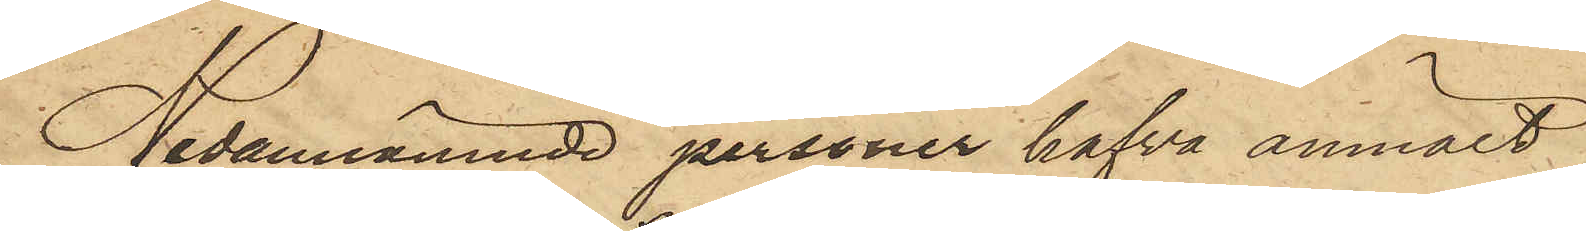Nedannämnde personer hafva anmält
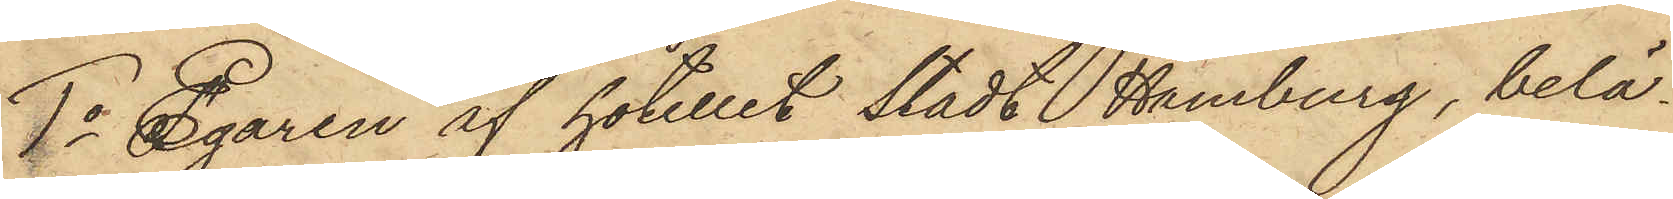1o Egaren af hotellet Stadt Hamburg, belä¬
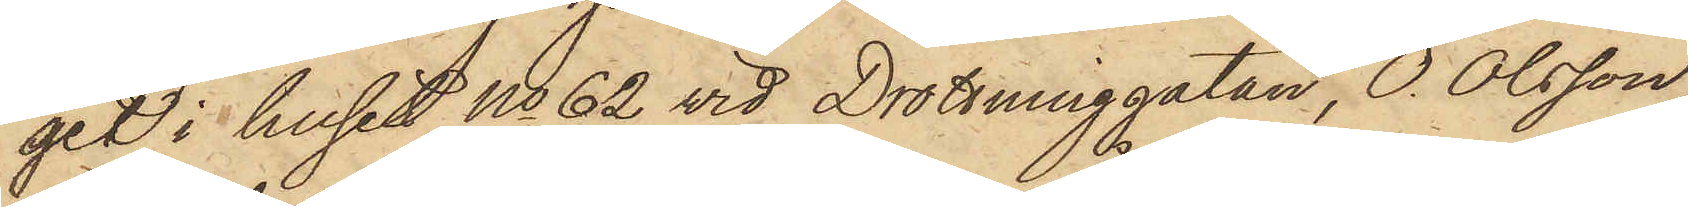get i huset No 62 vid Drottninggatan, O. Olsson,
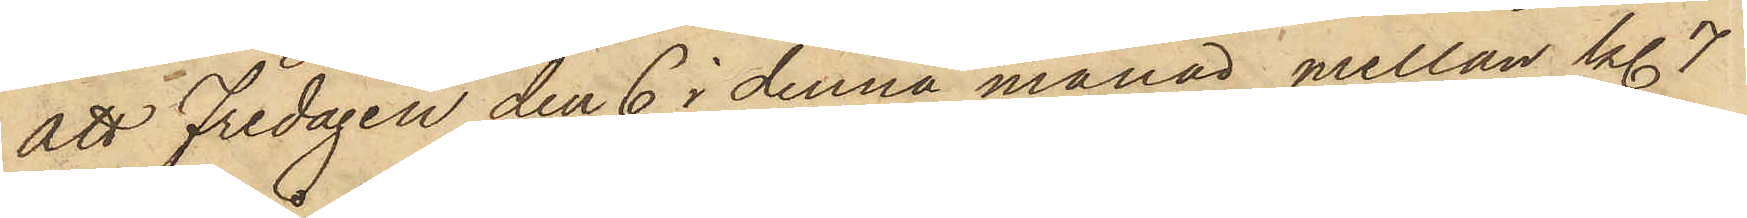att Fredagen den 6 i denna månad mellan kl. 7
